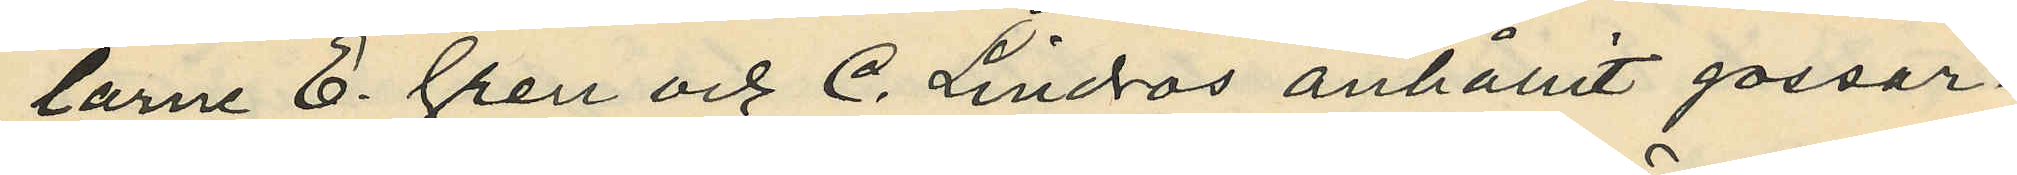larne E. Gren och C. Lindros anhållit gossar¬
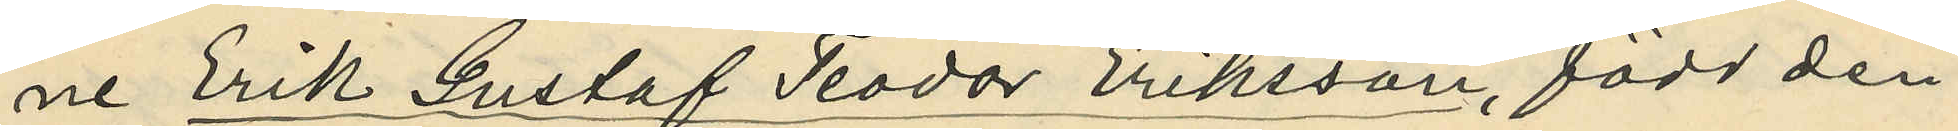ne Erik Gustaf Teodor Eriksson, född den
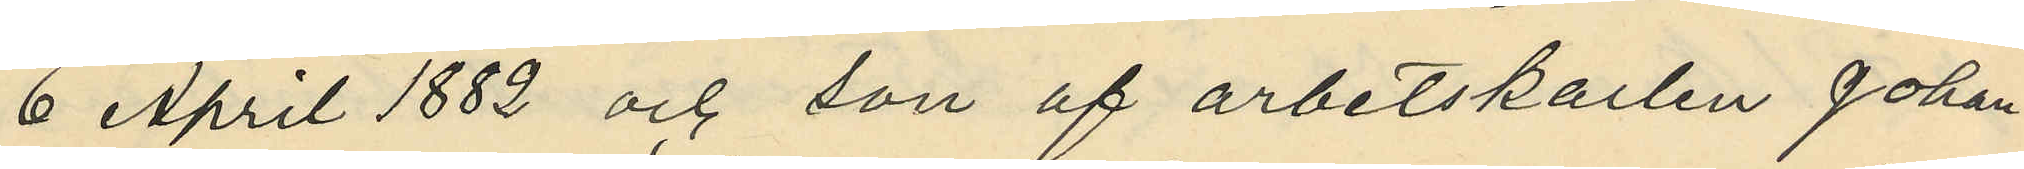6 April 1882 och son af arbetskarlen Johan
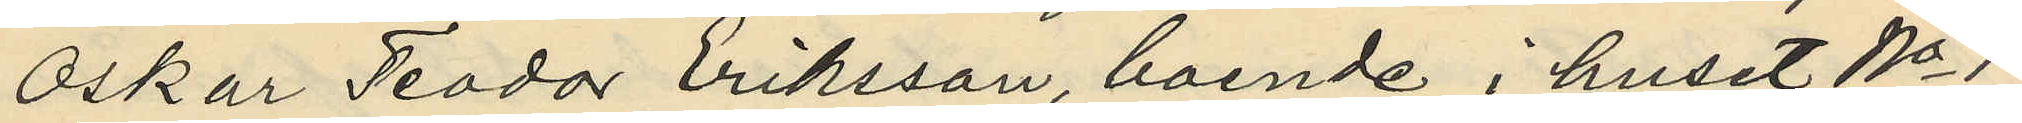Oskar Teodor Eriksson, boende i huset No 1
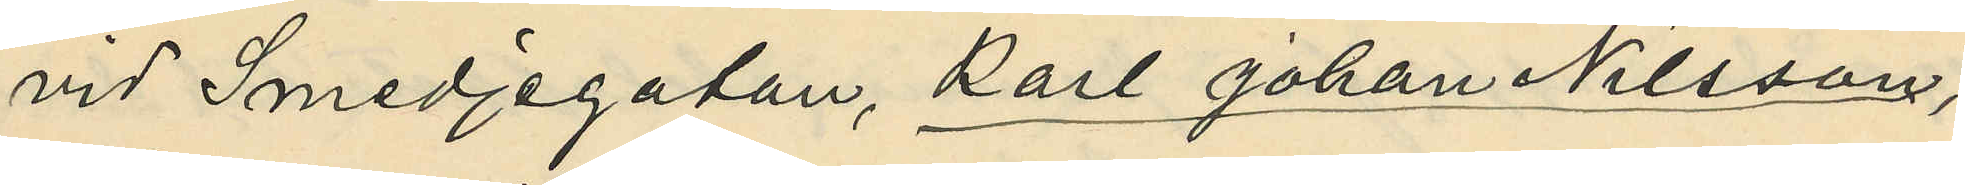vid Smedjegatan, Karl Johan Nilsson,
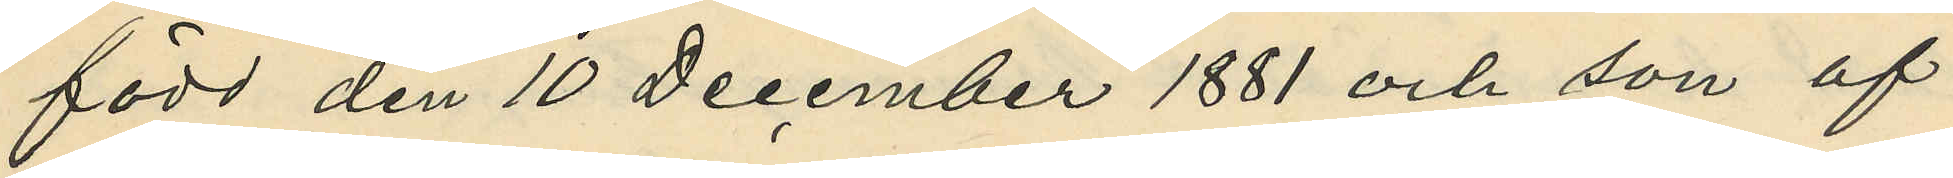född den 10 December 1881 och son af
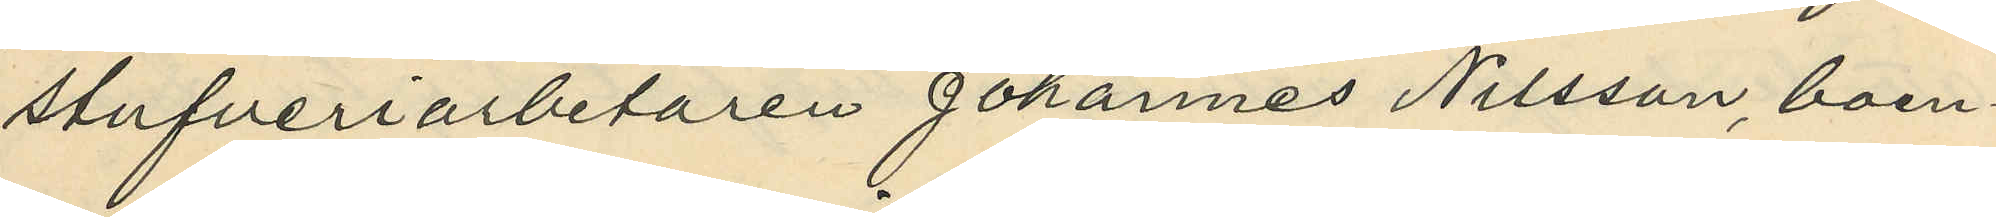stufveriarbetaren Johannes Nilsson boen¬
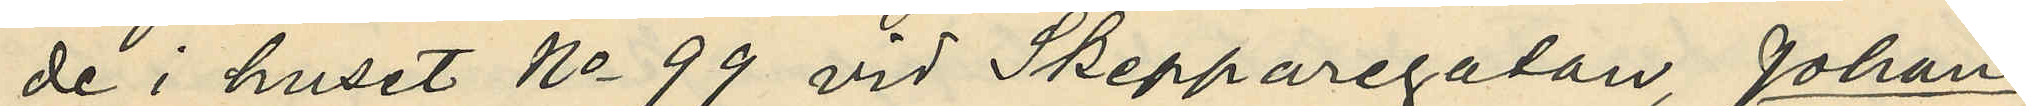de i huset No 99 vid Skepparegatan, Johan
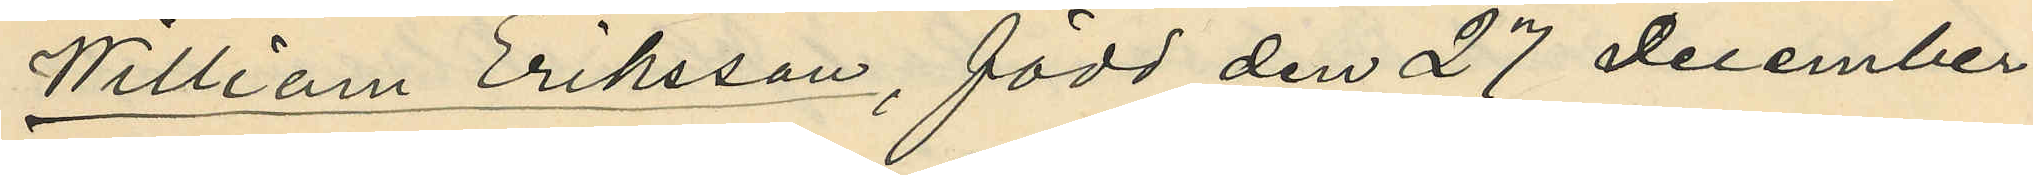William Eriksson, född den 27 December
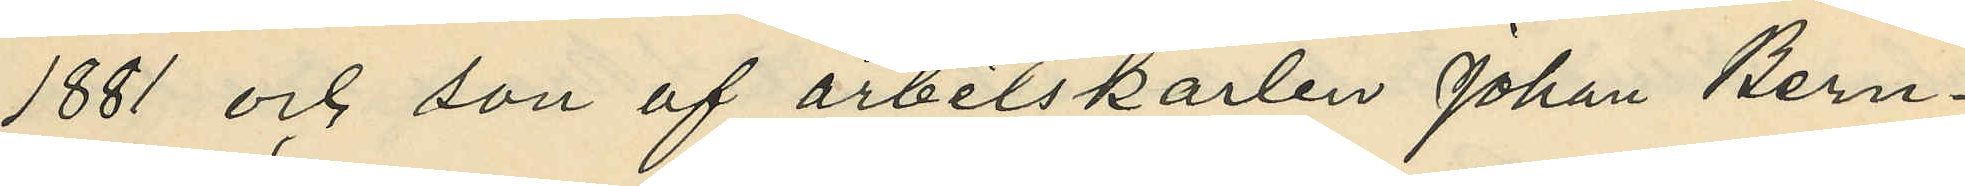1881 och son af arbetskarlen Johan Bern¬
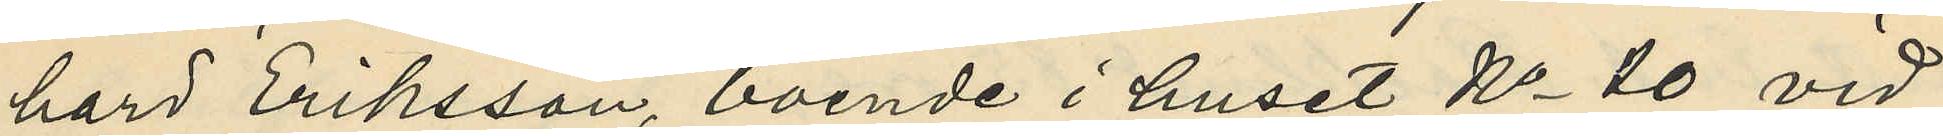hard Eriksson, boende i huset No 10 vid
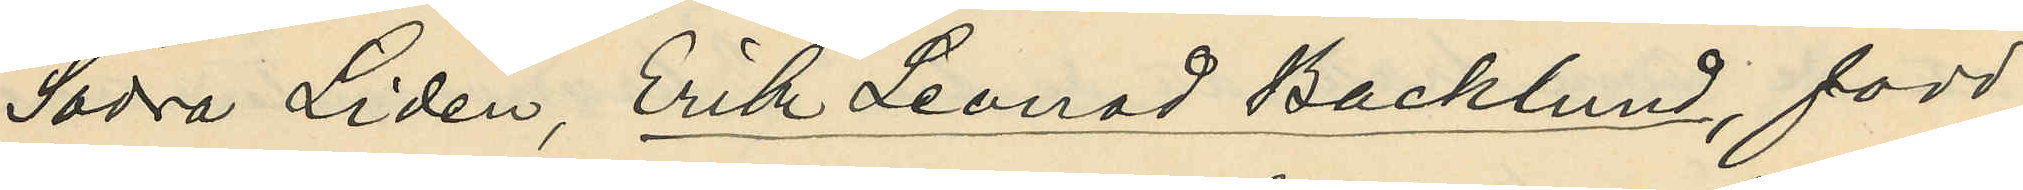Södra Liden, Erik Leonad Backlund, född
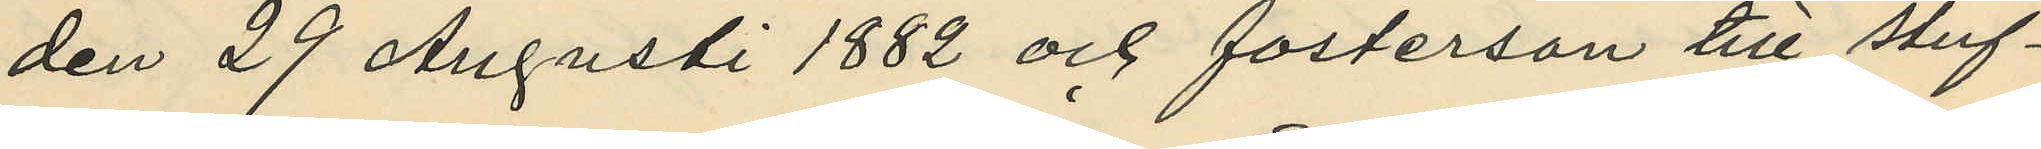den 29 Augusti 1882 och fosterson till stuf¬
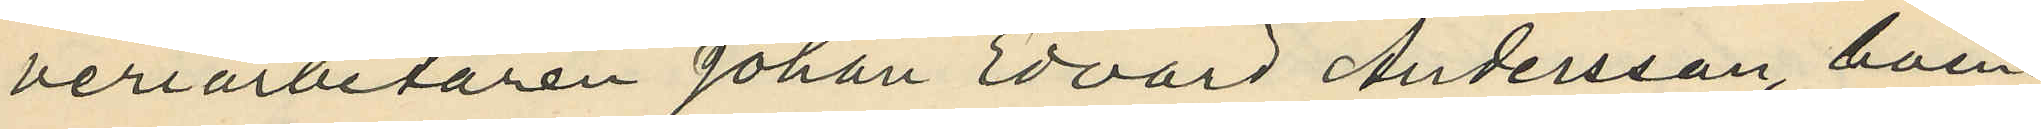veriarbetaren Johan Edvard Andersson, boen¬
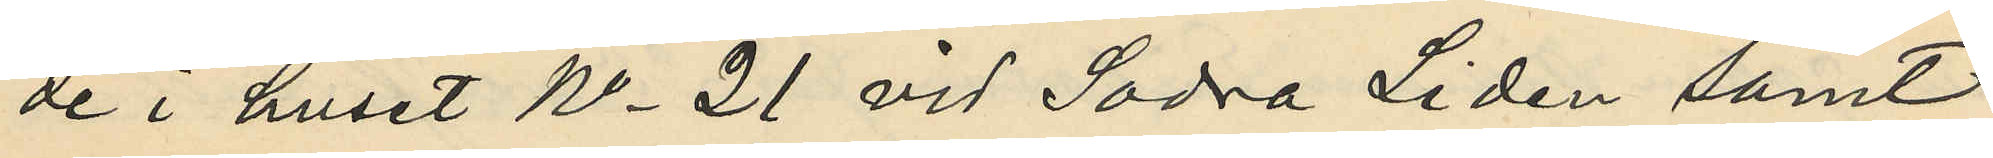de i huset No 21 vid Södra Lidén samt
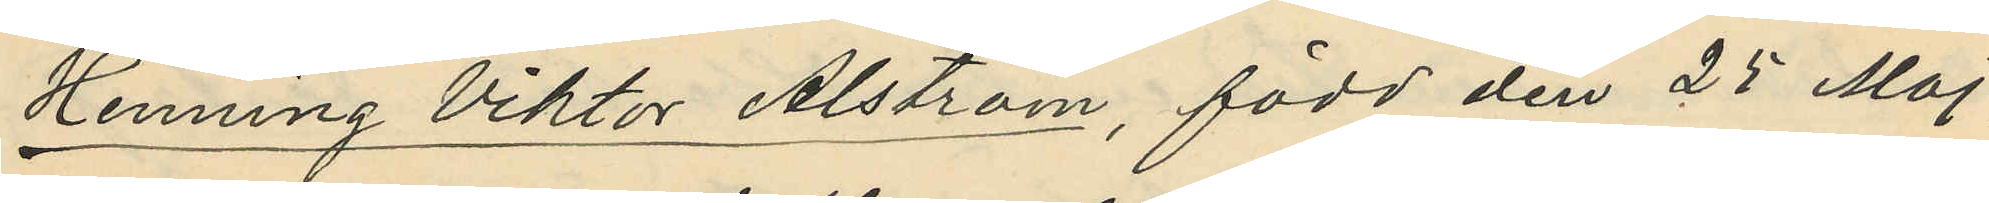Henning Viktor Alström, född den 25 Maj
